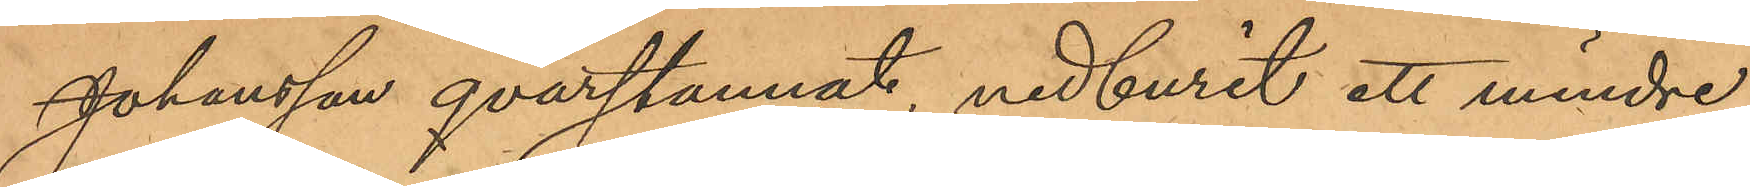Johansson qvarstannat, nedburit ett mindre
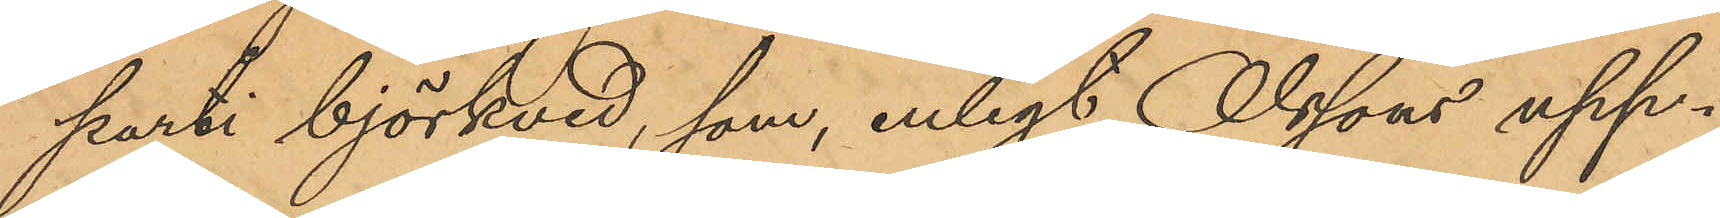parti björkved, som, enligt Olssons upp¬
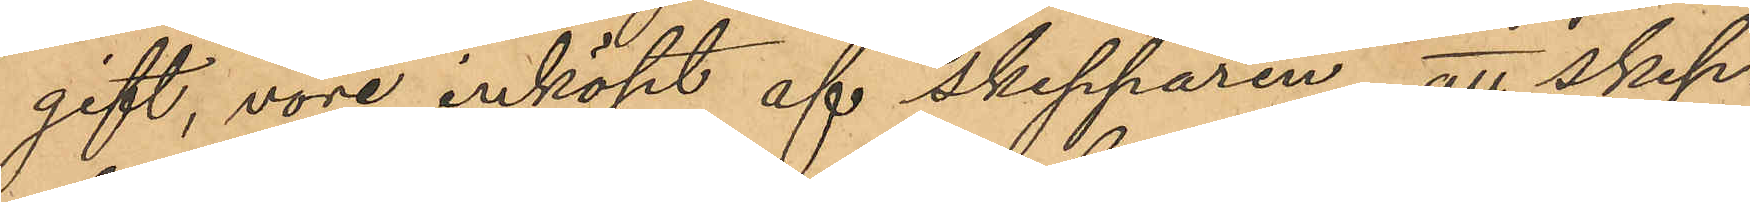gift, vore inköpt af skepparen; att skep¬
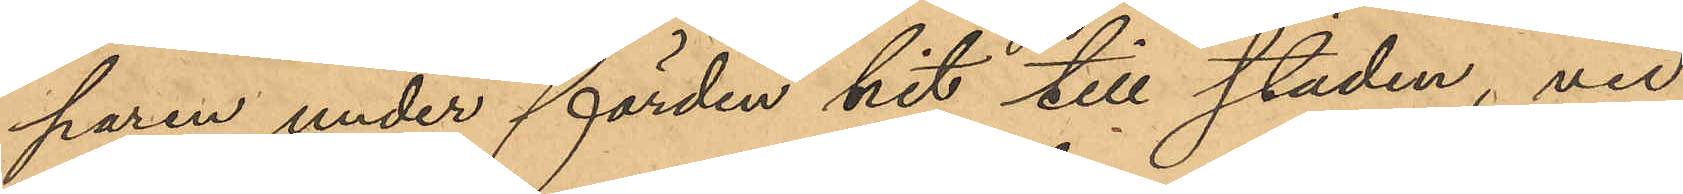paren under färden hit till staden, vid
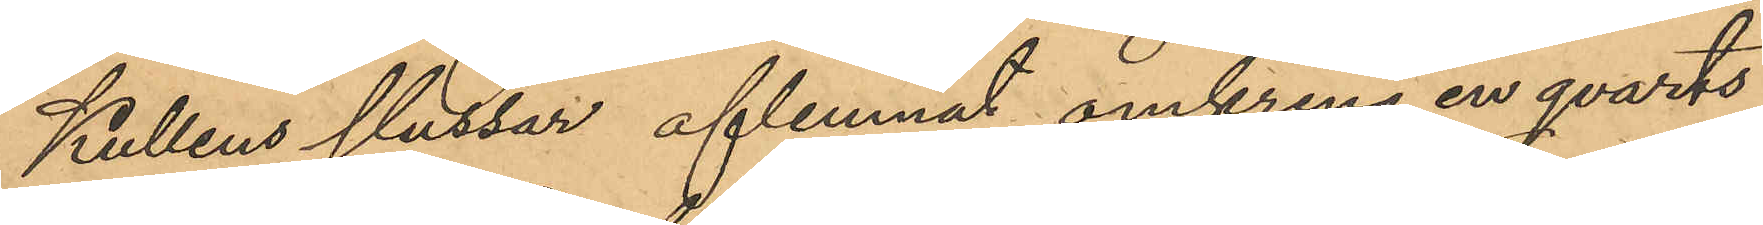Kullens slussar aflemnat omkring en qvarts
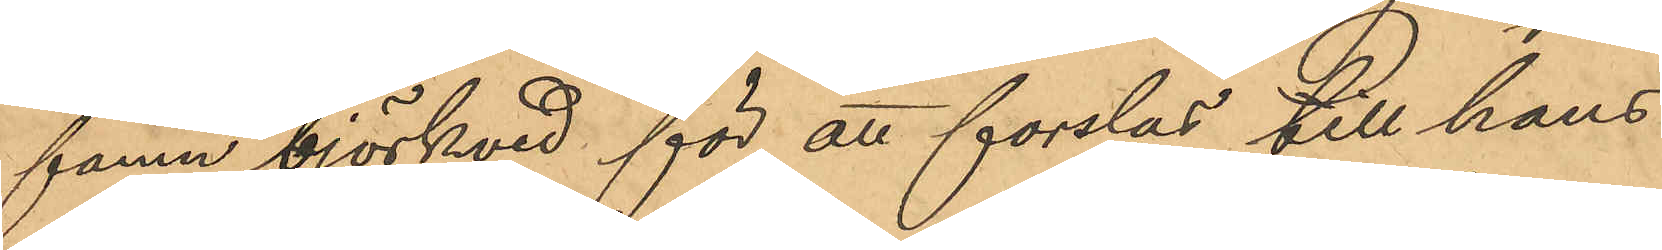famn björkvid för att forslas till hans
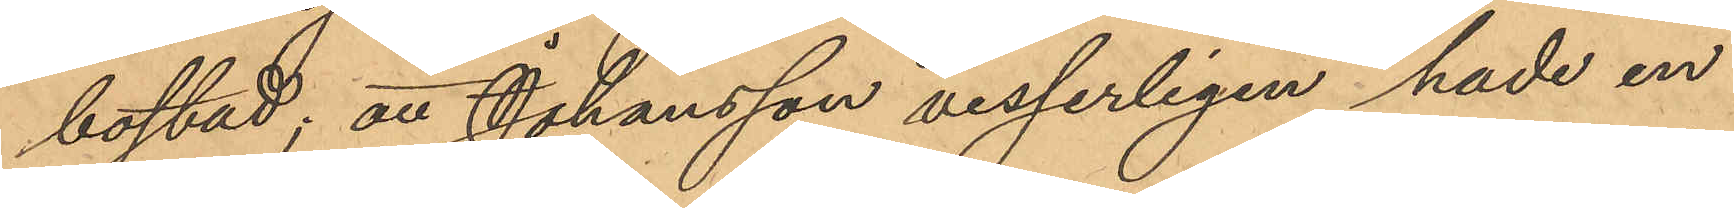bostad; att Johansson visserligen hade en
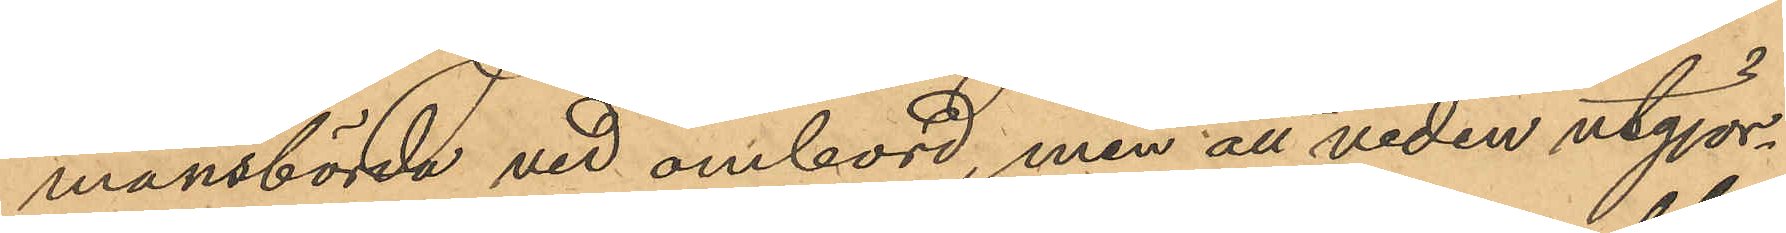mansbörda ved ombord, men att veden utgjor¬
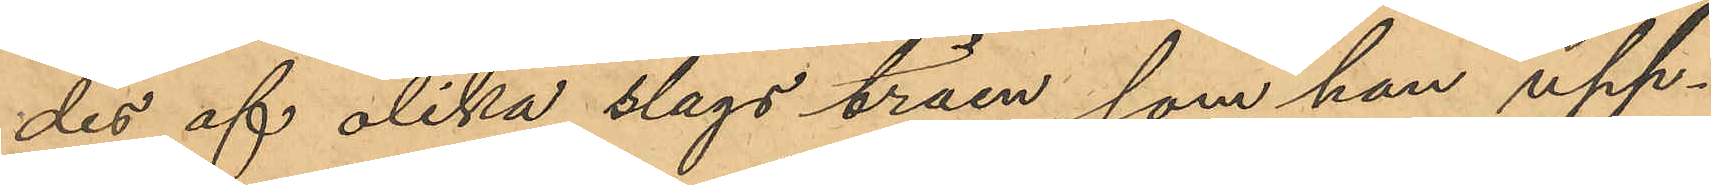des af olika slags träen, som han upp¬
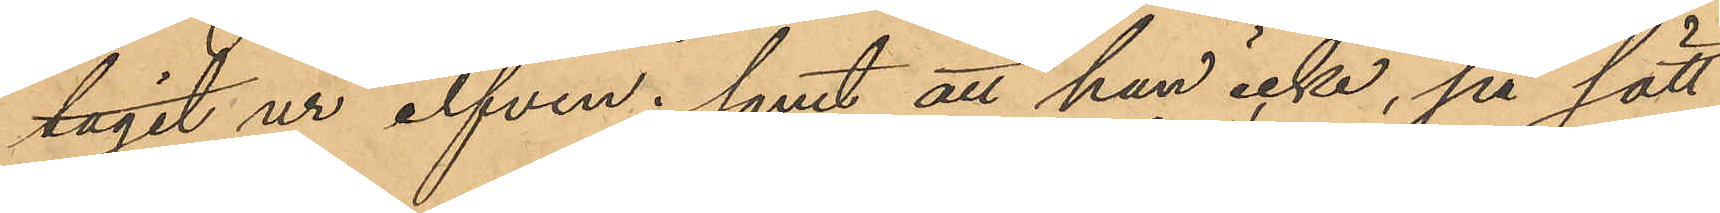tagit ur elfven; samt att han icke, på sätt
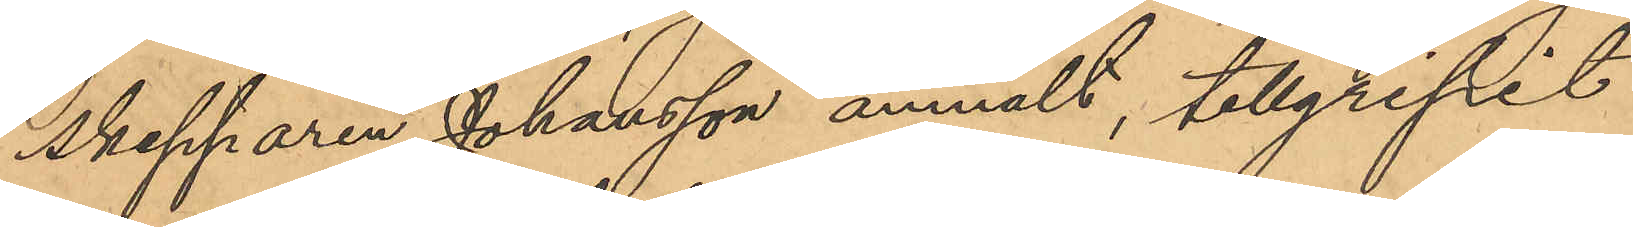Skepparen Johansson anmält, tillgripit
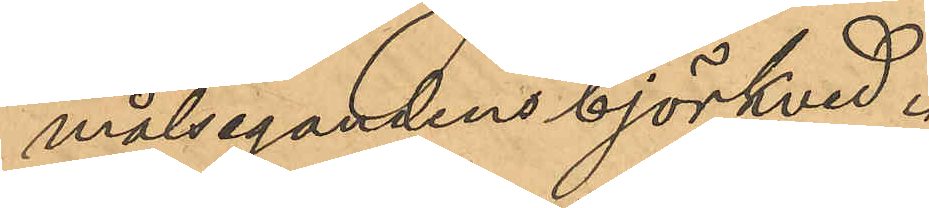målsegandens björkved.
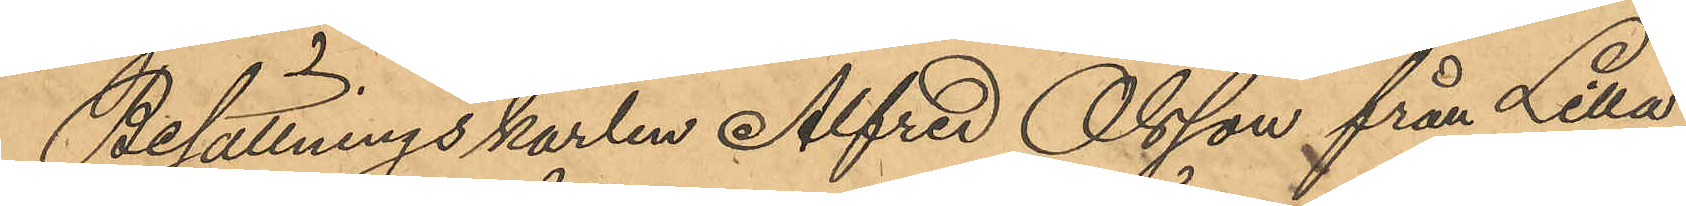Besättningskarlen Alfred Olsson från Lilla
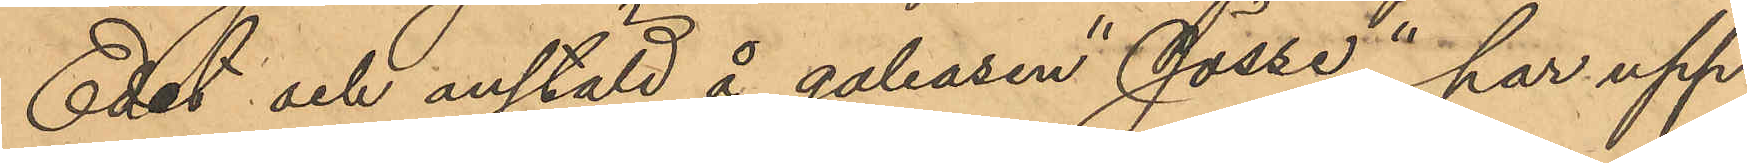Edet och anstäld å galeasen "Jösse", har upp¬
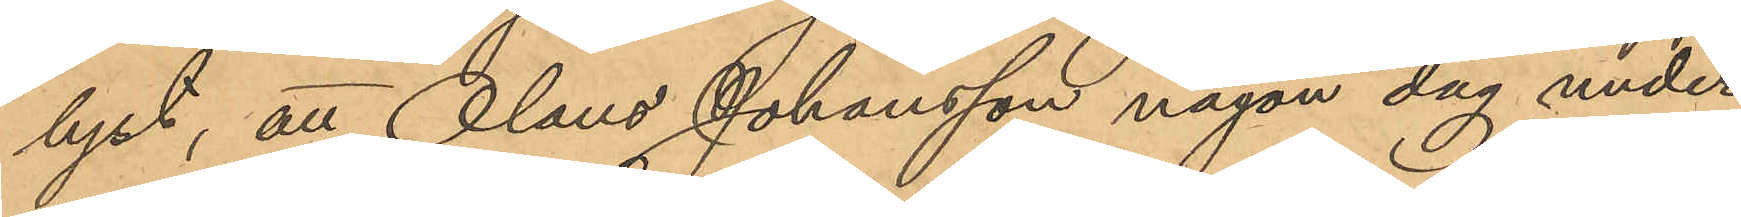lyst, att Olaus Johansson någon dag under
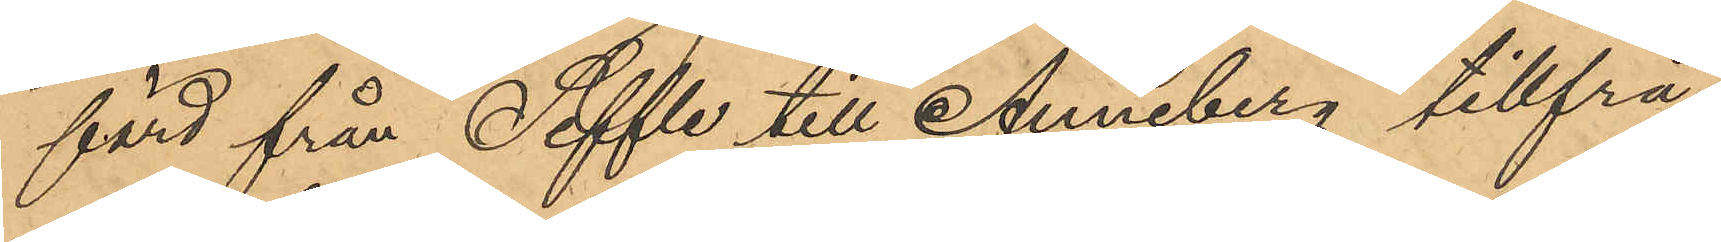färd från Säffle till Anneberg tillfrå¬
